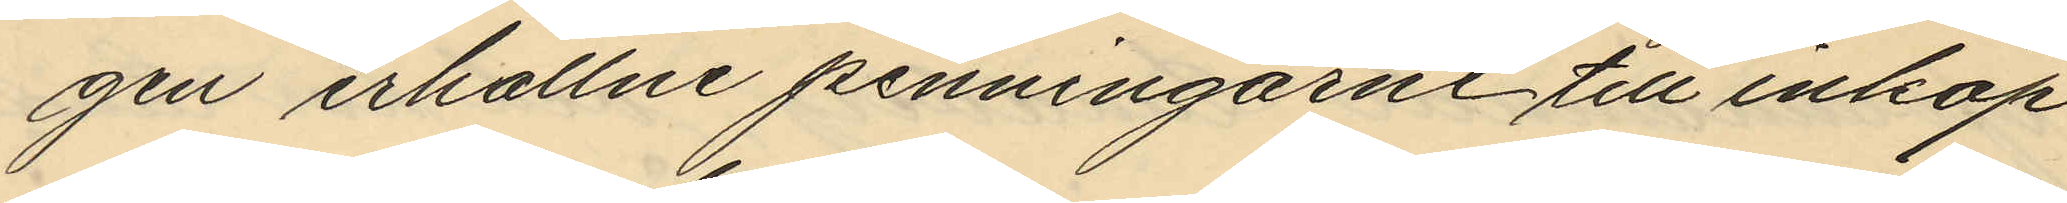gen erhållne penningarne till inköp
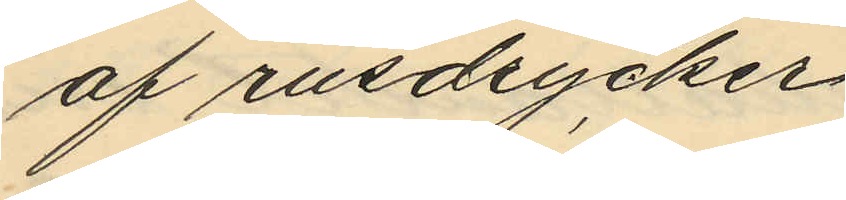af rusdrycker. 
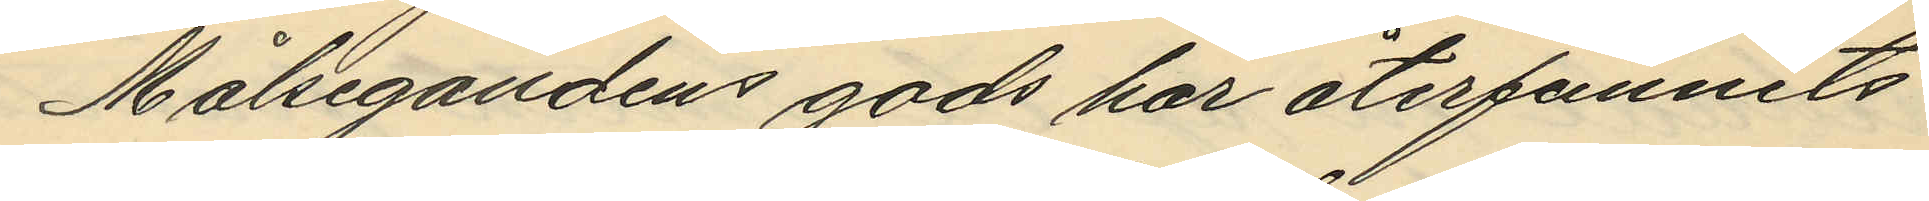Målsegandens gods har återfunnits
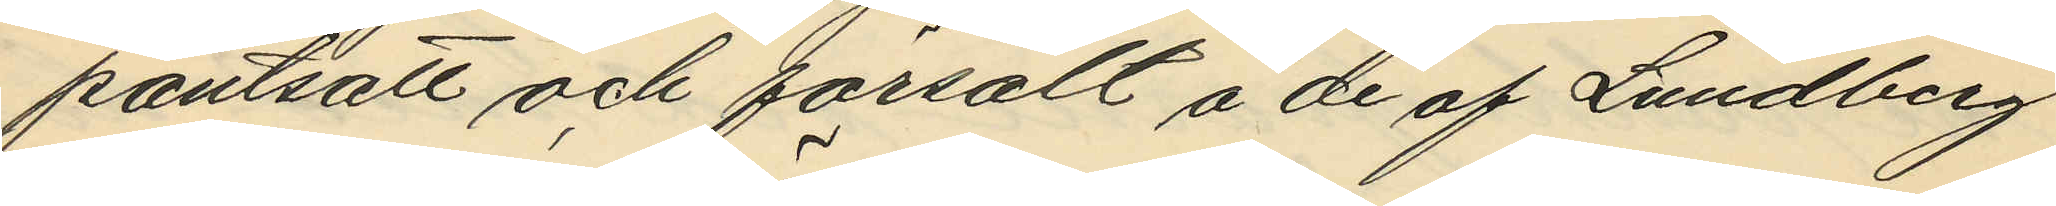pantsatt och försålt å de af Lundberg
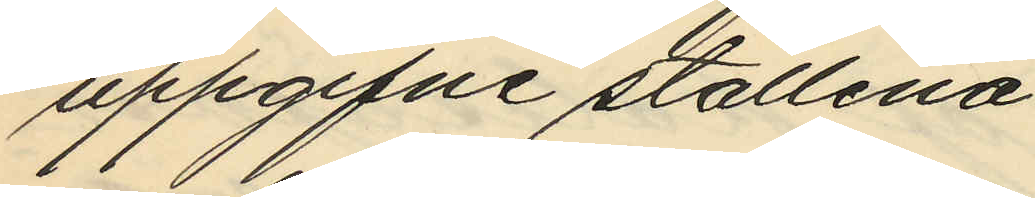uppgifne ställena.
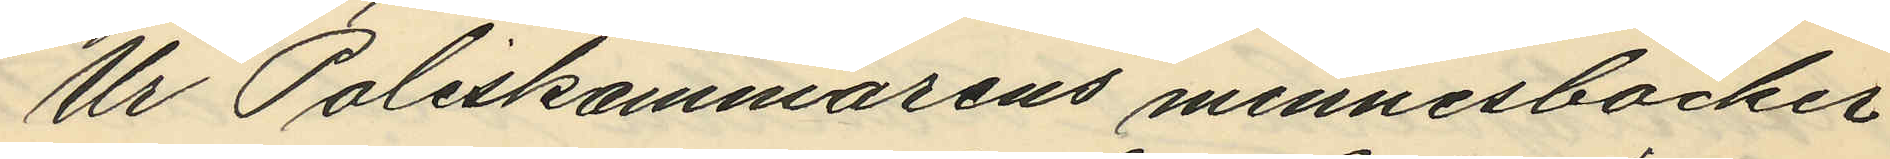Ur Poliskammarens minnesböcker
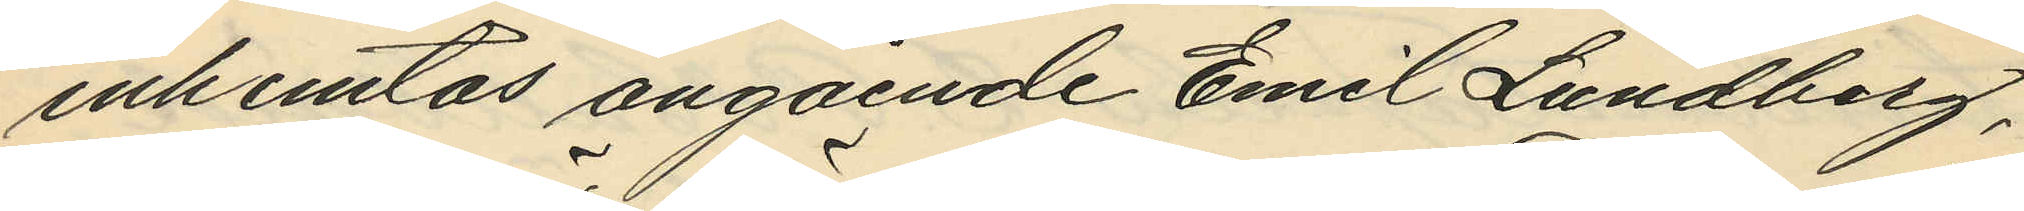inhemtas angående Emil Lundberg,
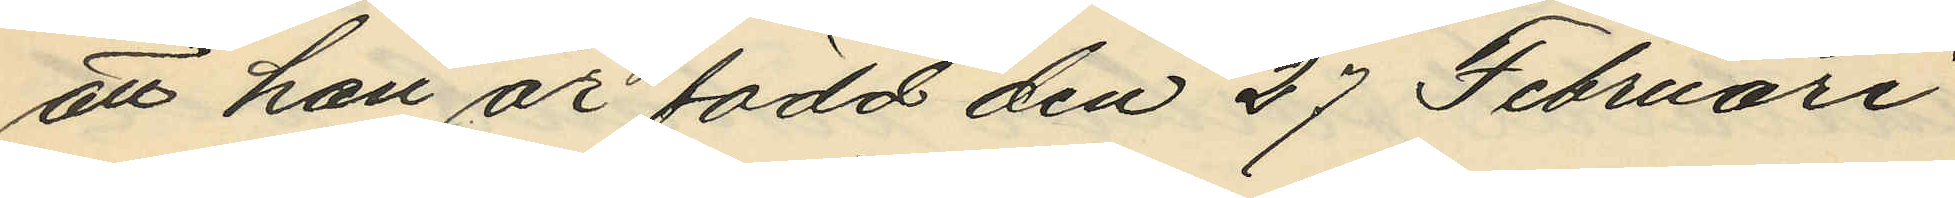att han är född den 27 Februari
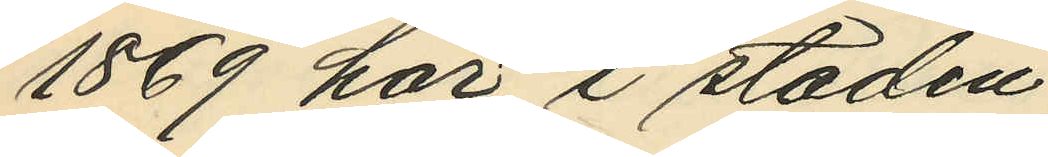1869 här i staden;
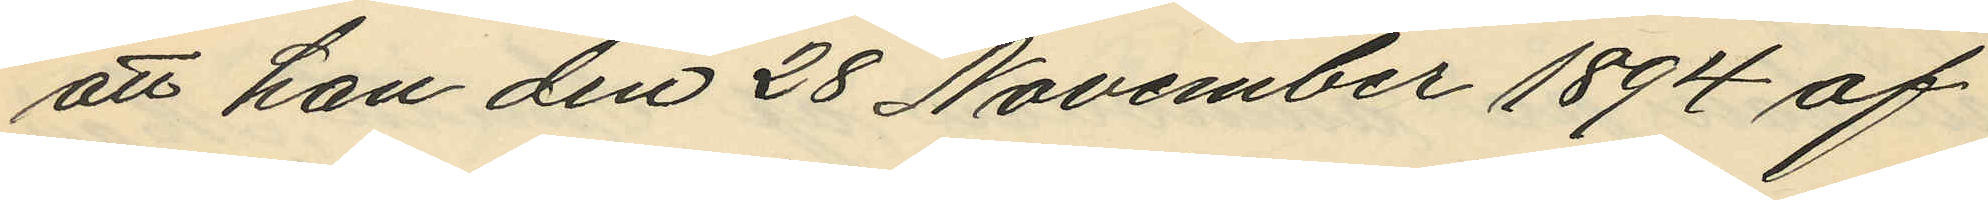att han den 28 November 1894 af
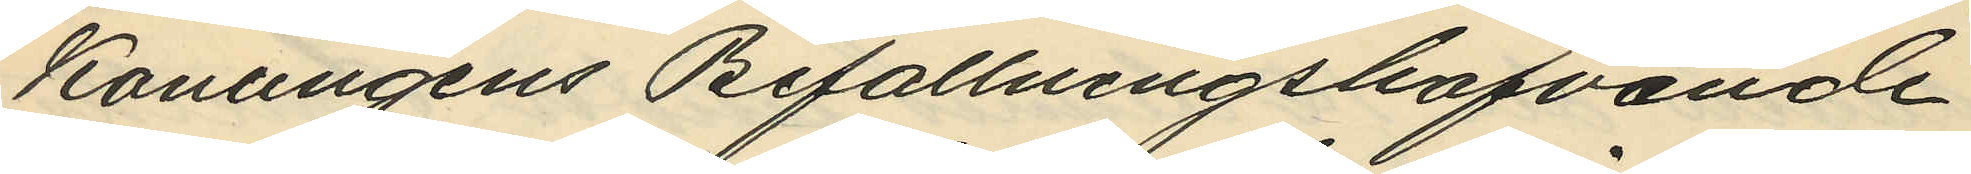Konungens Befallningshafvande
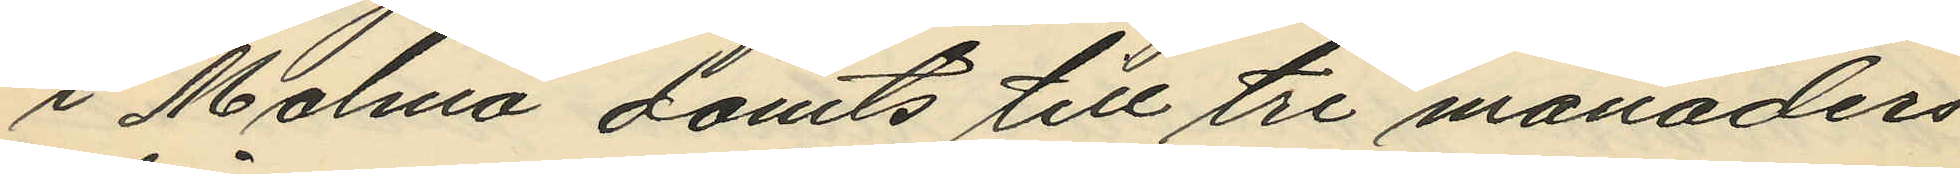i Malmö dömts till tre månaders
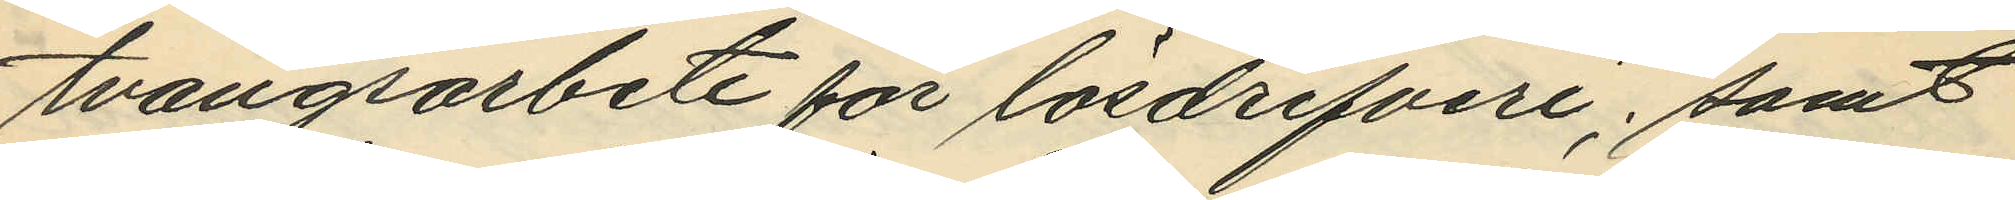tvångsarbete för lösdrifveri; samt
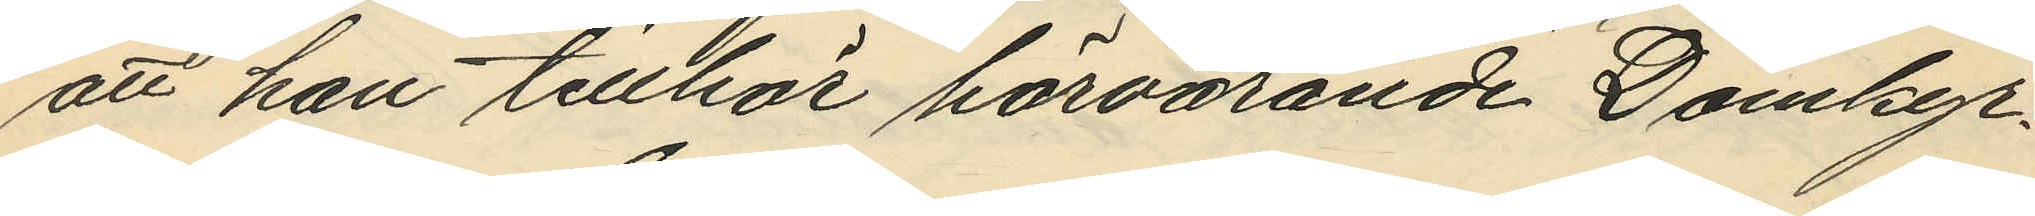att han tillhör härvarande Domkyr¬
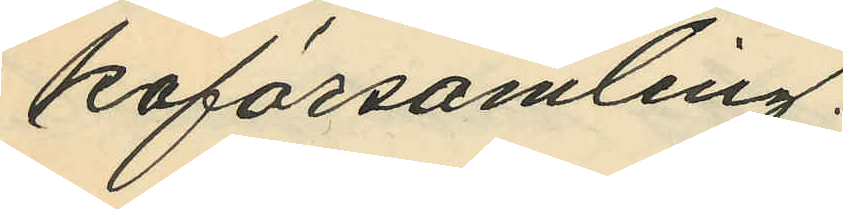koförsamling.
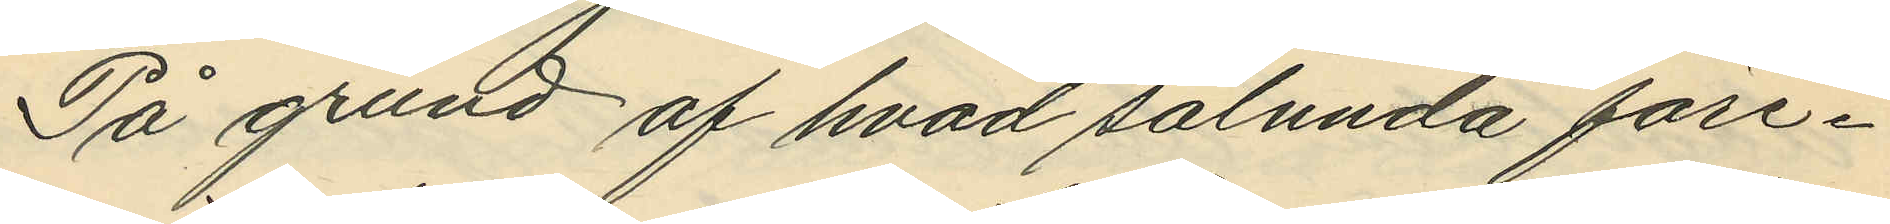På grund af hvad sålunda före¬
